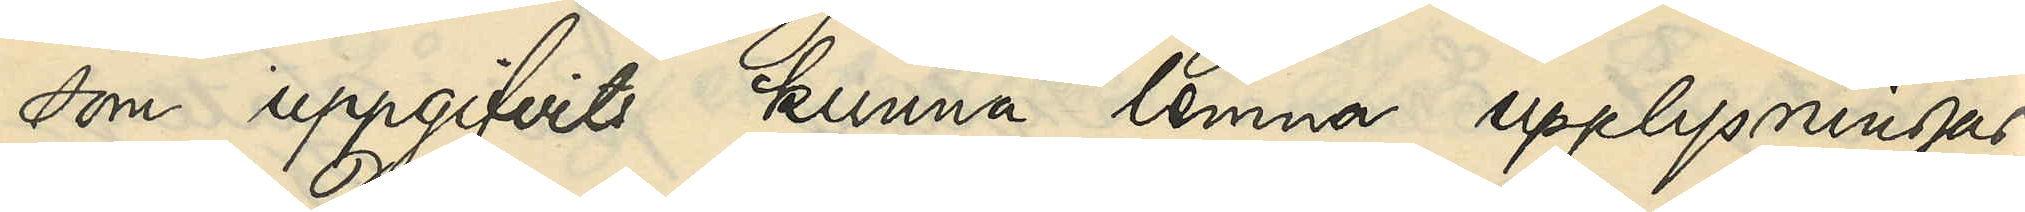som uppgifvits kunna lemna upplysningar
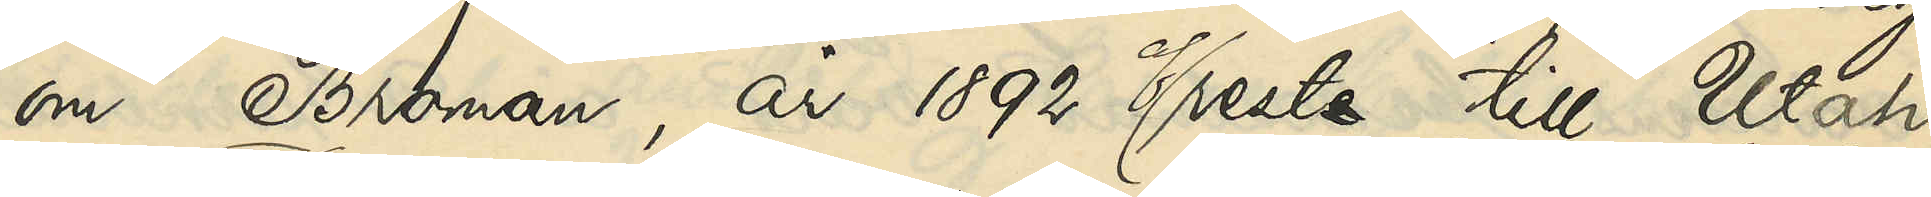om Broman, år 1892 afreste till Utah,
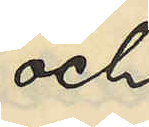och
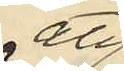att
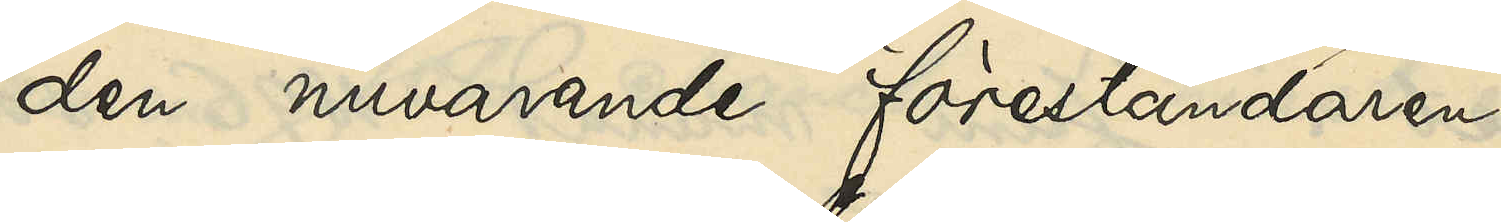den nuvarande föreståndaren
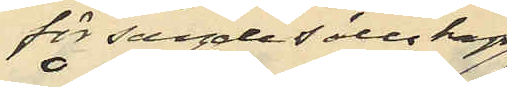för sagde sällskap
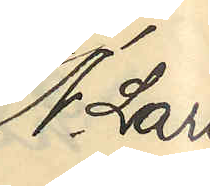N. Lars¬
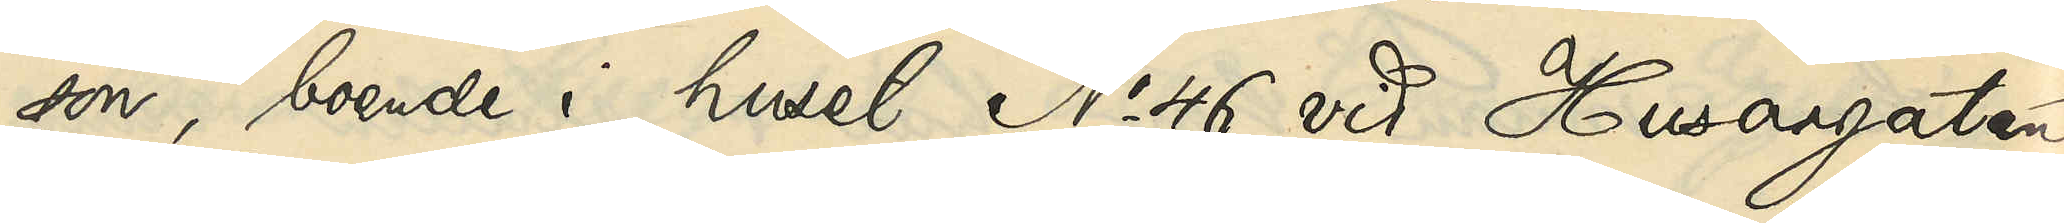son, boende i huset No 46 vid Husargatan,
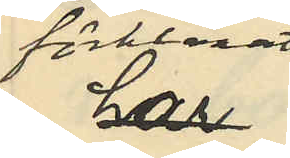förklarat 
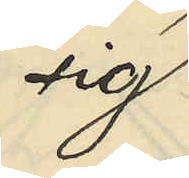sig
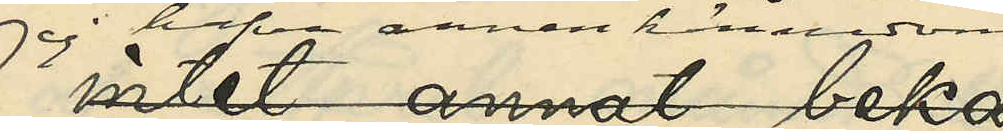ej hafva annan kännedom
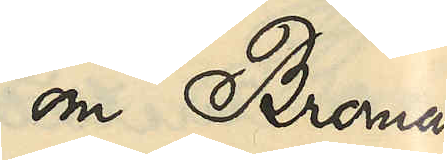om Broman
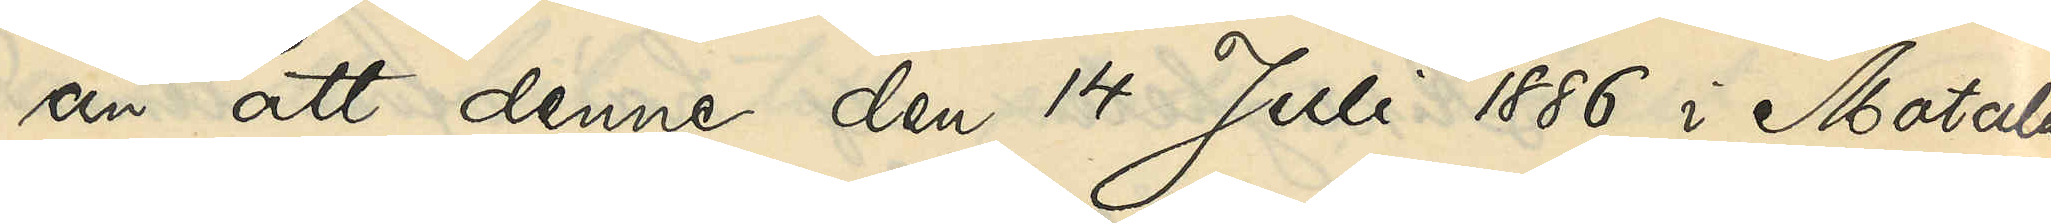än att denne den 14 Juli 1886 i Motala
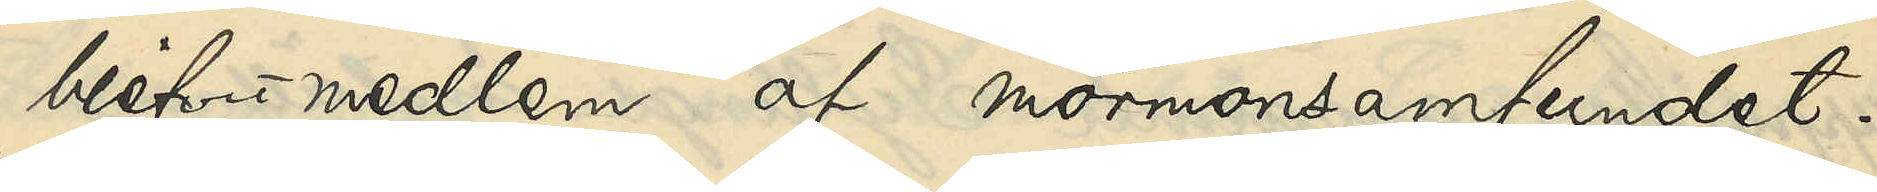blifvit medlem af mormonsamfundet.
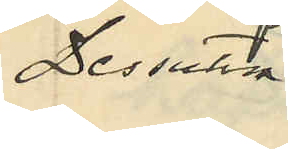Dessutom
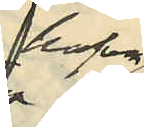hafva
